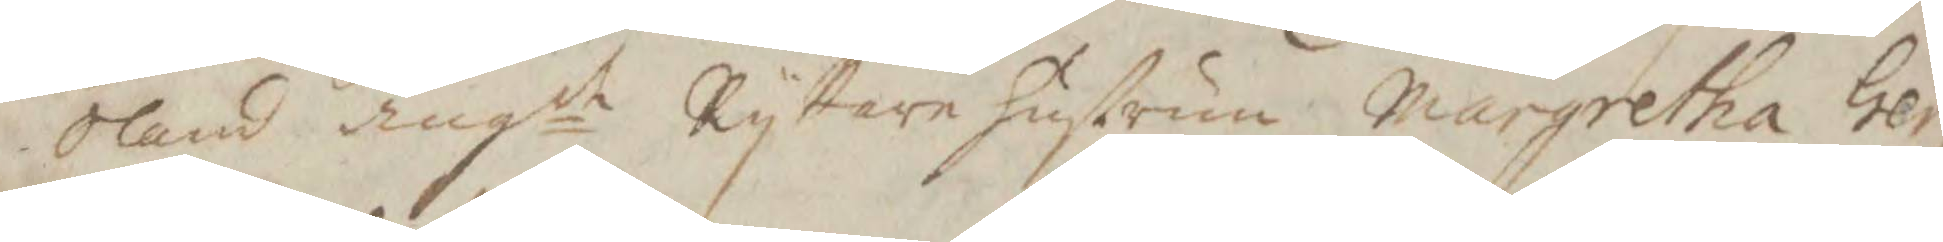Öland angde Ryttare hustrun margretha Ger¬
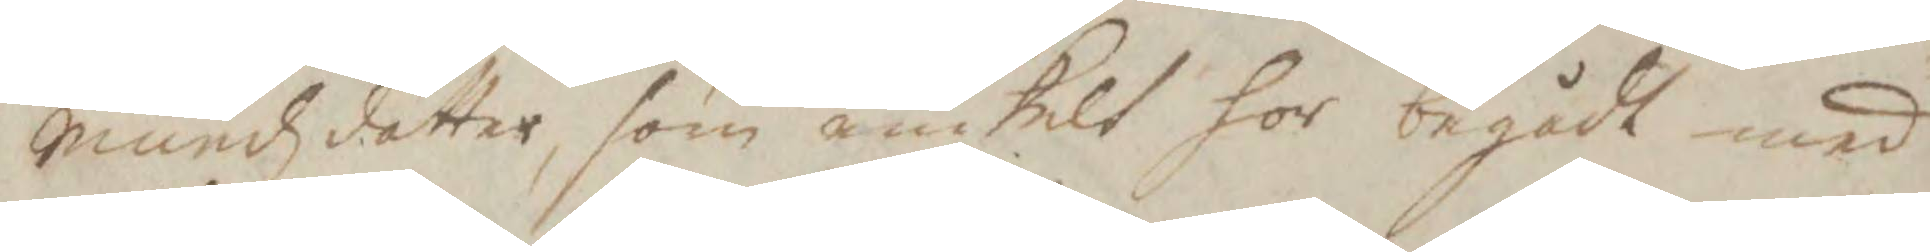mundzdotter, som enskilt hor begått med
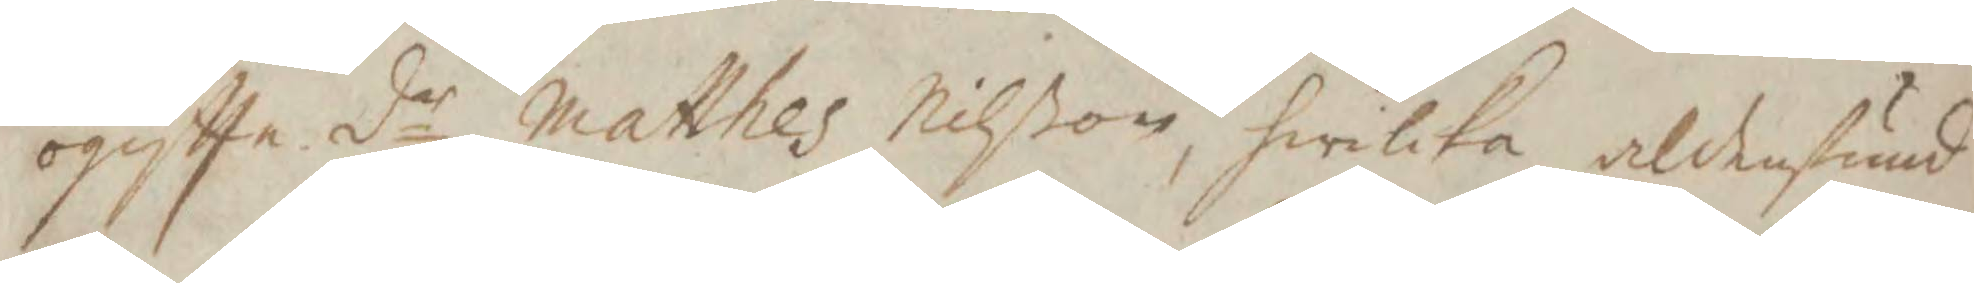ogifte dr Matthes Nilßon, hwilka, aldenstund
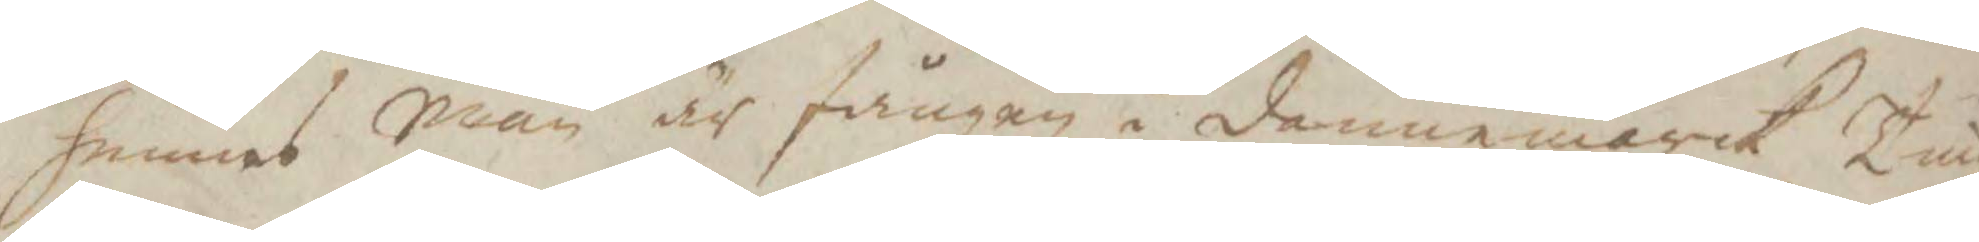hennes Man är fången i dannemarck, Tingz¬
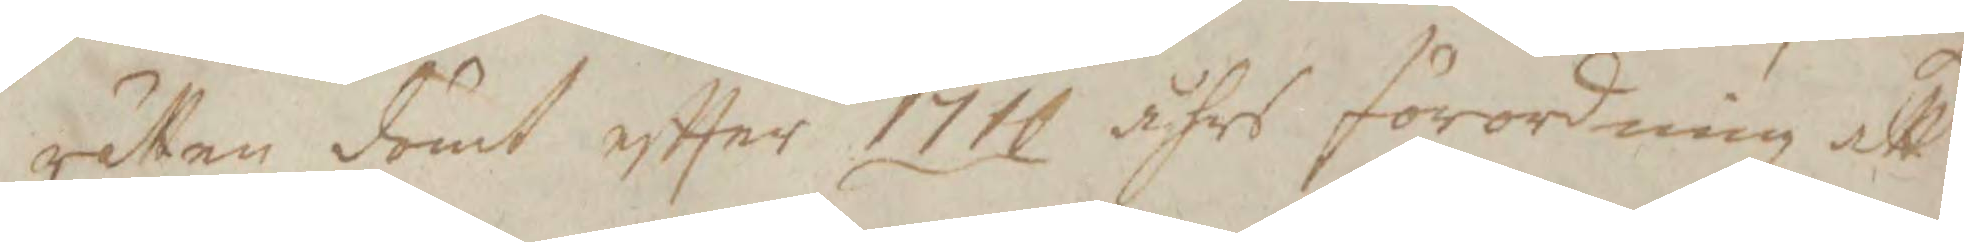rätten dömt eftter 1710 åhrs förordning att
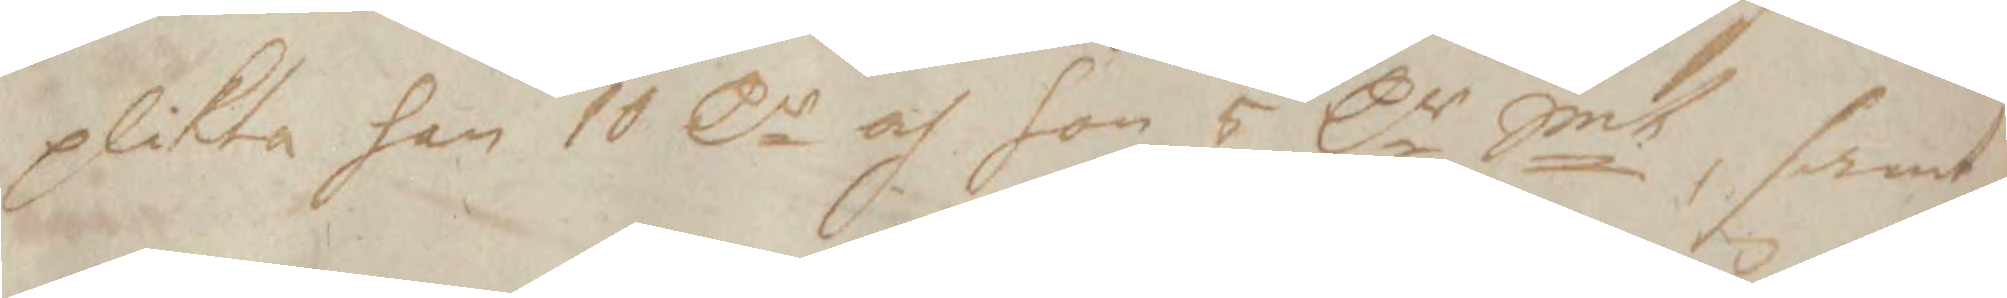plikta han 10 Cr och hon 5 Cr Smt, samt
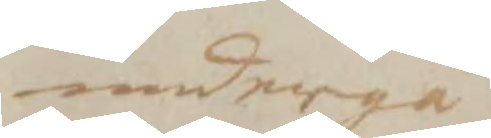undergå
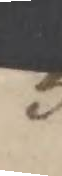3:
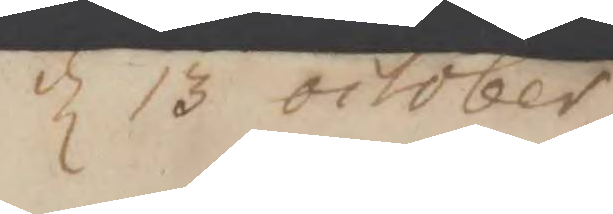d 13 october
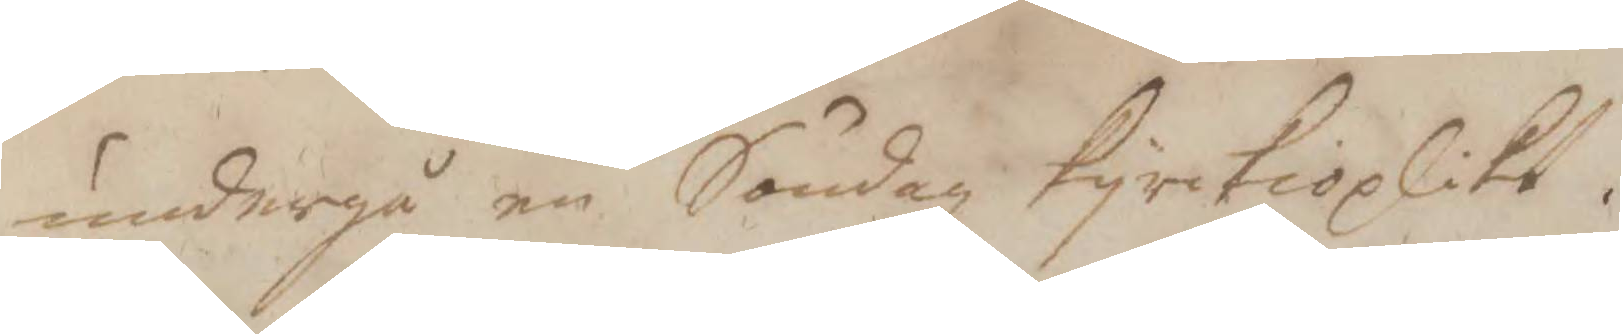undergå en Söndagz kyrkioplikt.
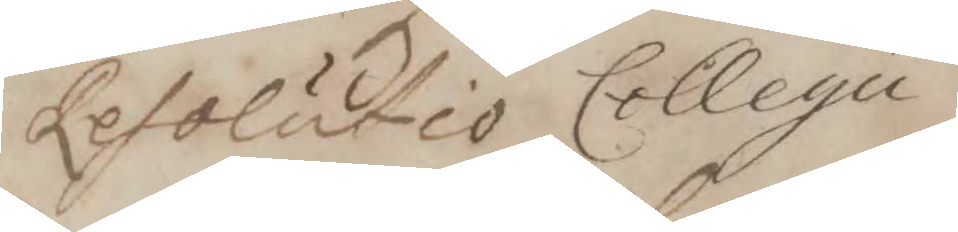Resolutio Collegii
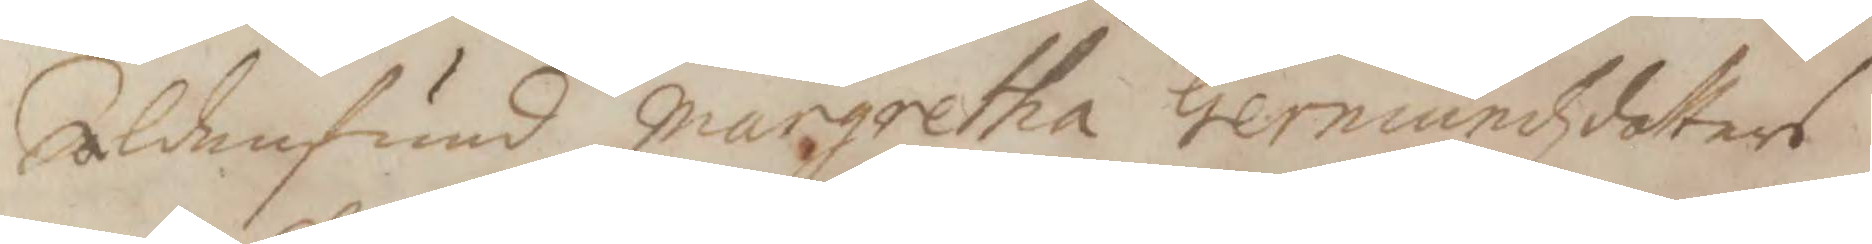Aldenstund Margretha Germundzdotters
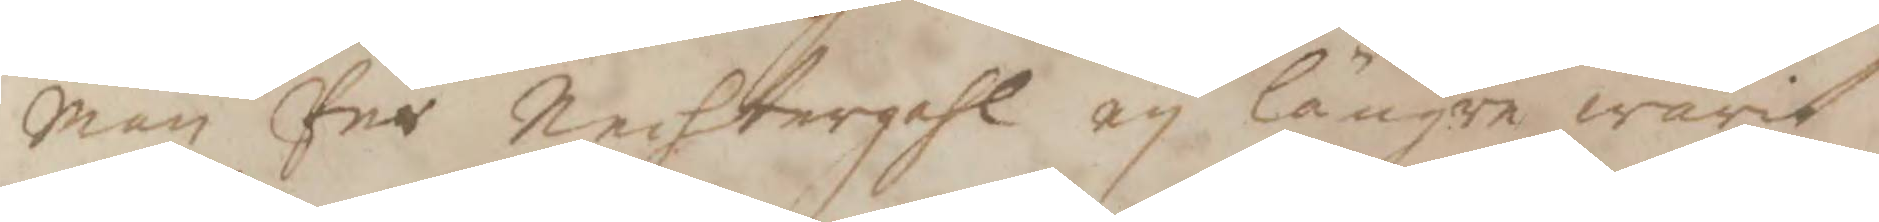Man Per Nechtergahl ey längre warit
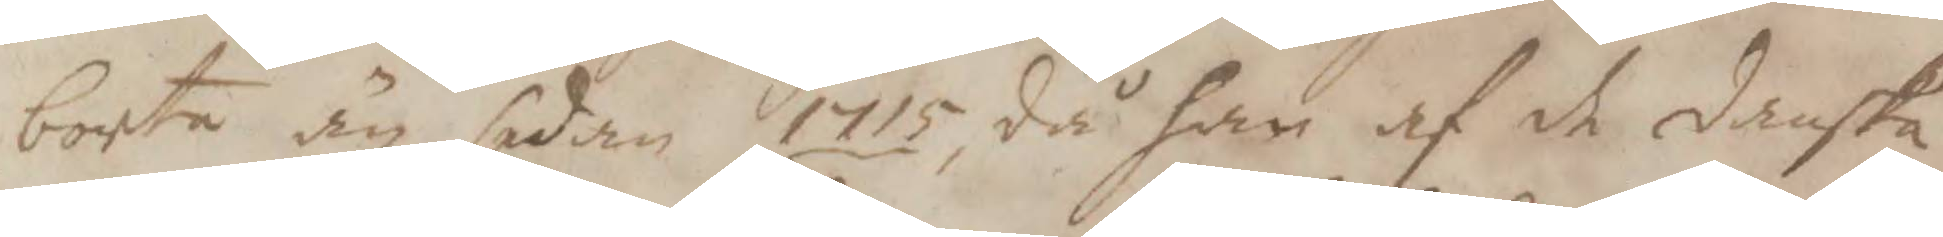borta än sedan 1715, då han af de danska
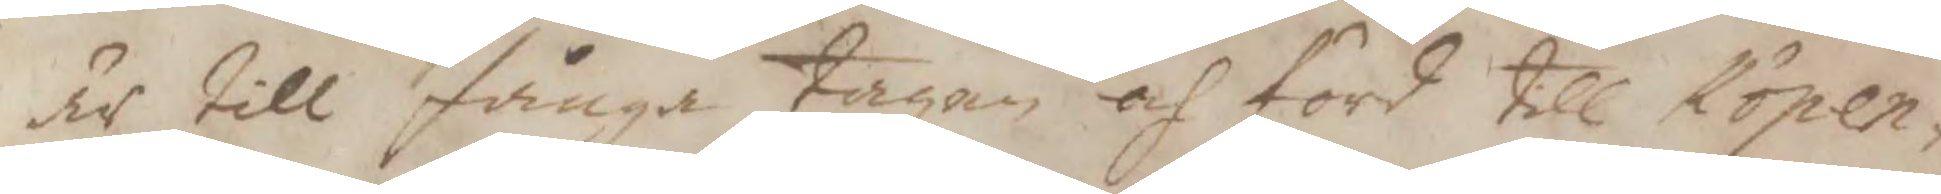är till fåna tagen och förd till Köpen¬
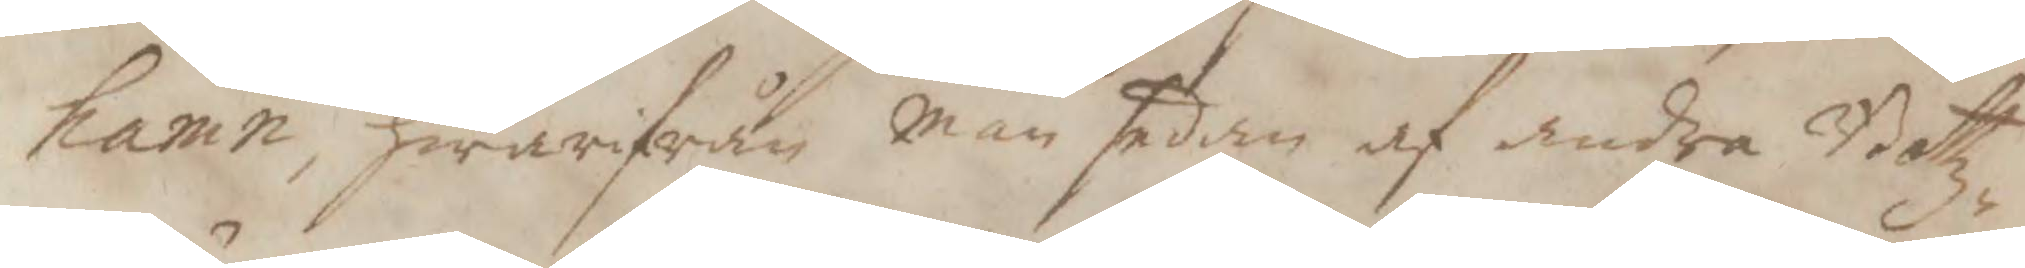hamn, hwarifrån man sedan af andra Botz¬
